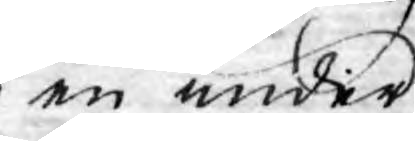en under
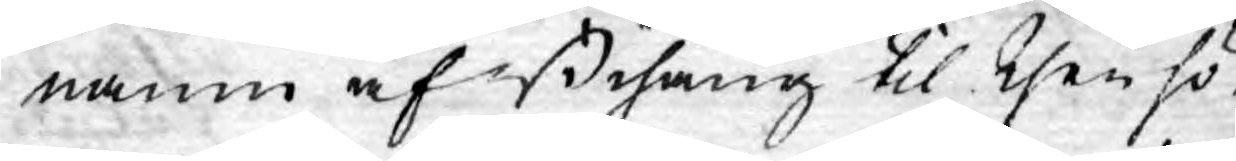namn af Bihang til then hö¬
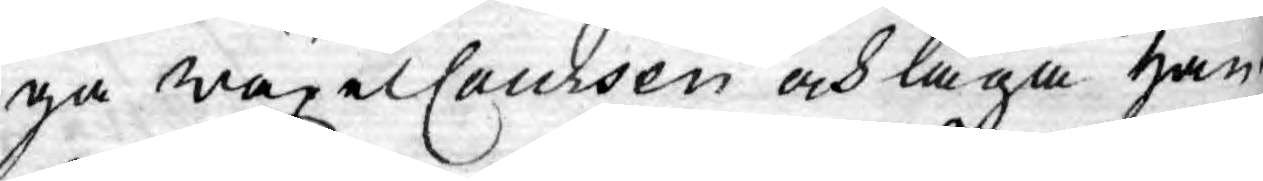ga wäxelCoursen och låga han¬
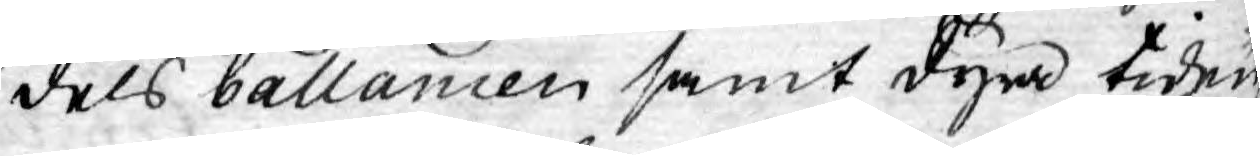dels ballancen samt dyra tiden,
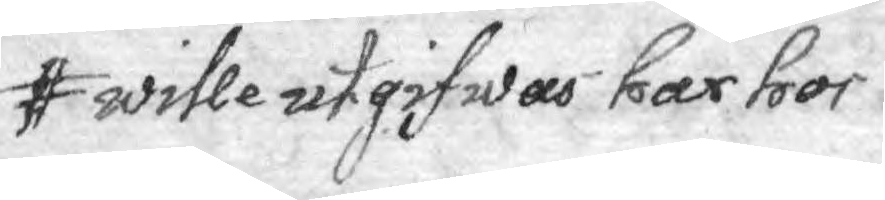wille utgifwas har hos
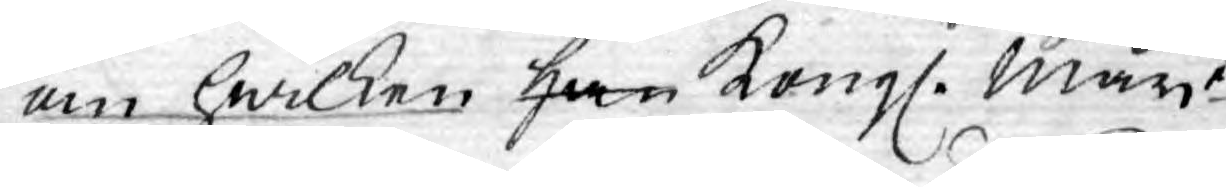om hwilken han Kongl. Mayt
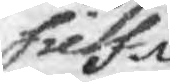sielf
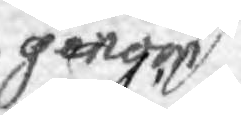genom 
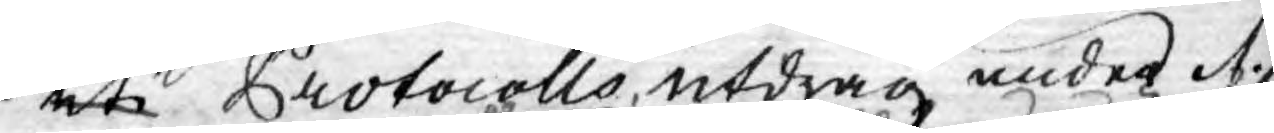uti Protocolls utdrag under d.
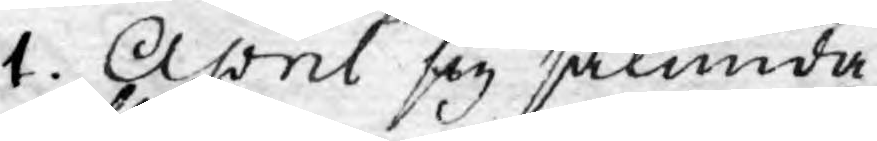1. April sig sålunda
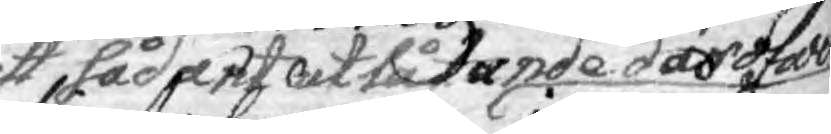ett sådant utlåtande däröfwer
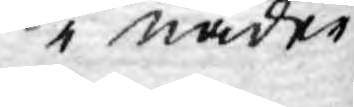i nåder
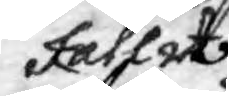fallit
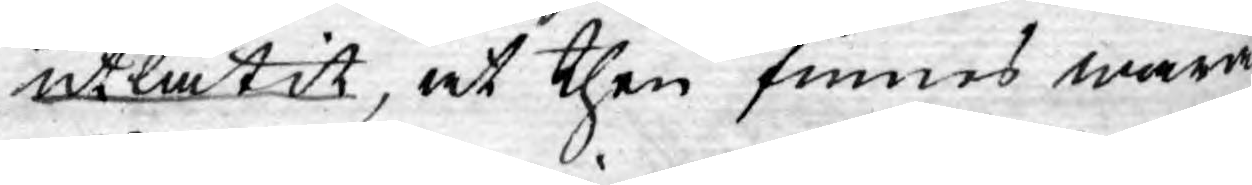utlåtit, at then funnes wara
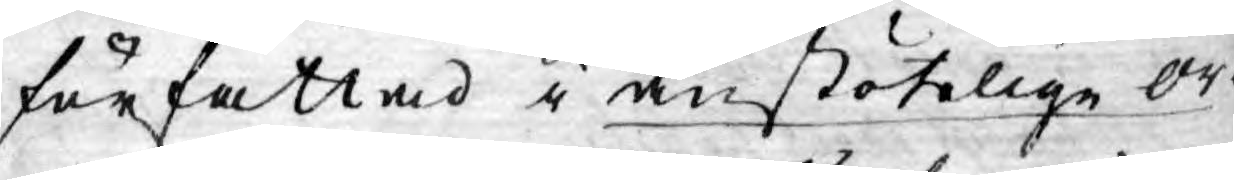författad i anstötelige or¬
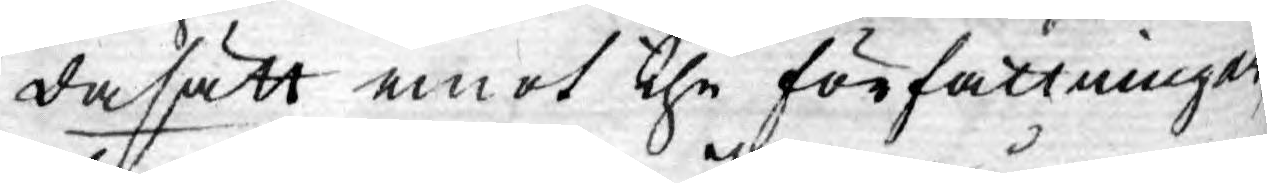dasätt emot the författningar,
